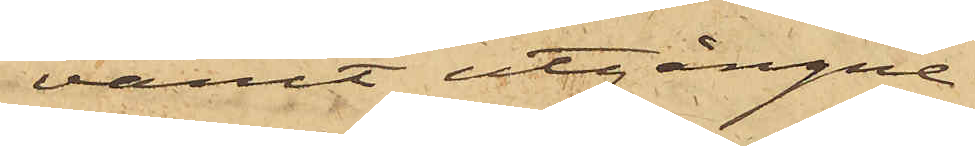varit utgångne
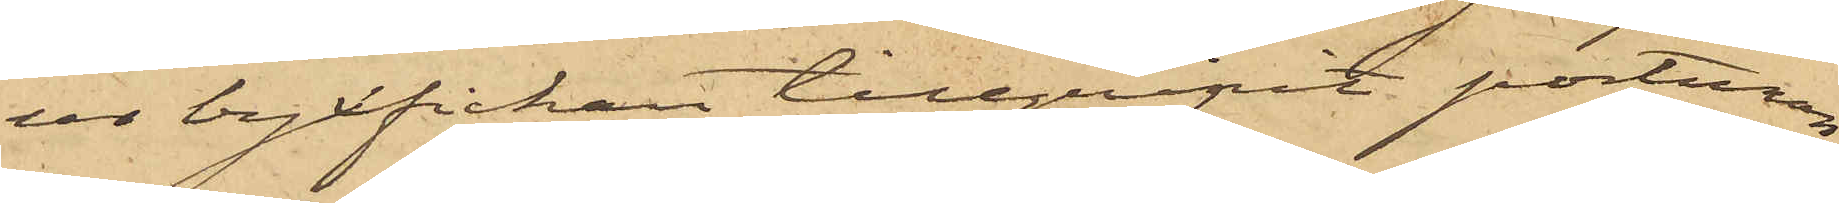ur byxfickan tillgripit portmon¬
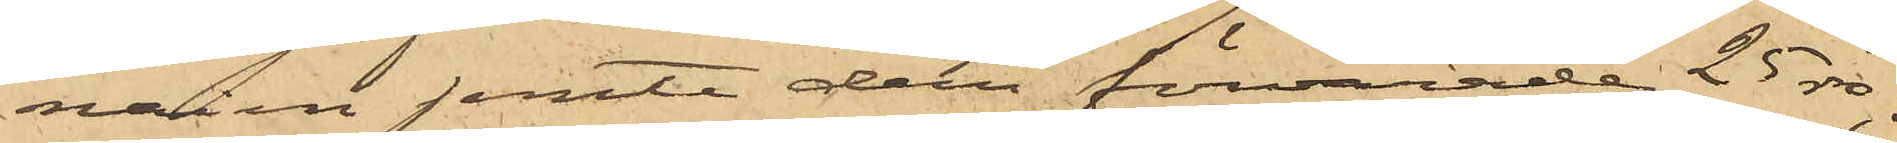naien jemte deri förvarade 25 rdr:
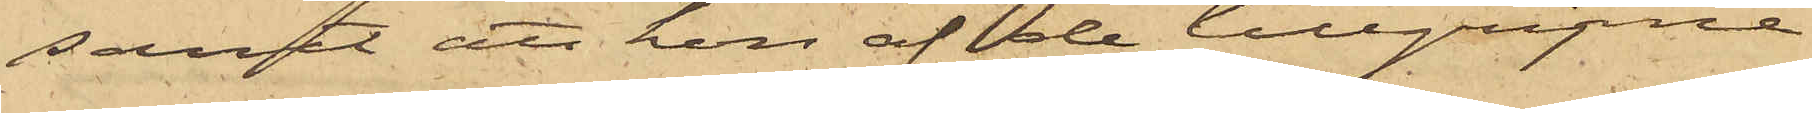samt att hon af de tillgripne
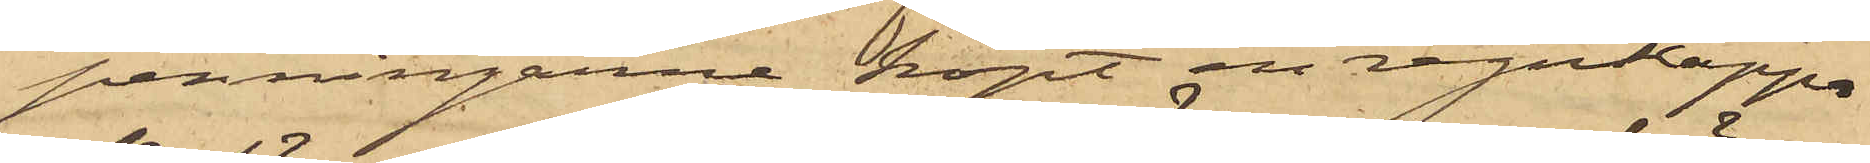penningarne köpt en regnkappa
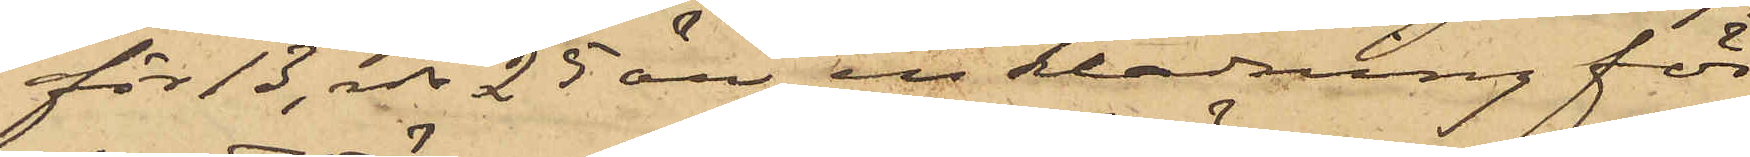för 13 rdr 25 öre, en klädning för
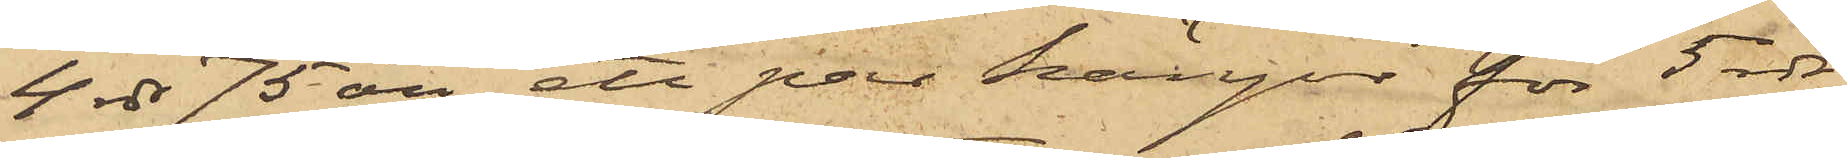4 rdr 75 öre, ett par kängor för 5 rdr
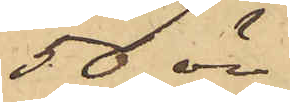50 öre
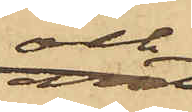och
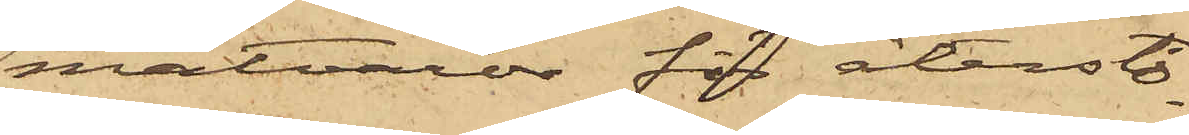matvaror för återsto¬
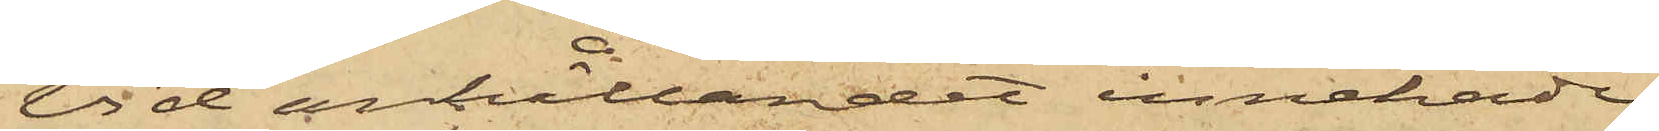Vid anhållandet innehade
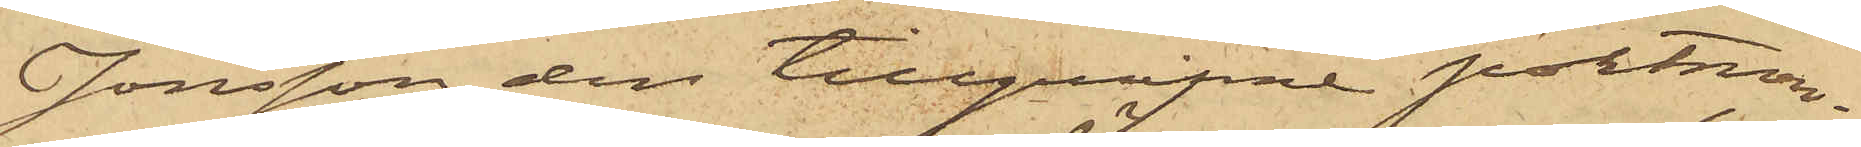Jonsson den tillgripne portmon¬
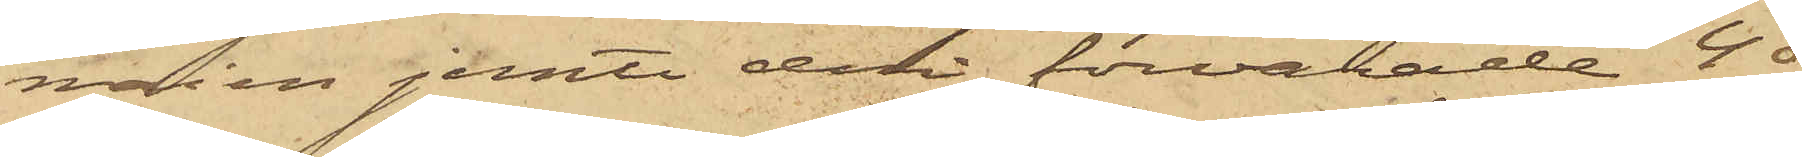naien jemte deri förvarade 40
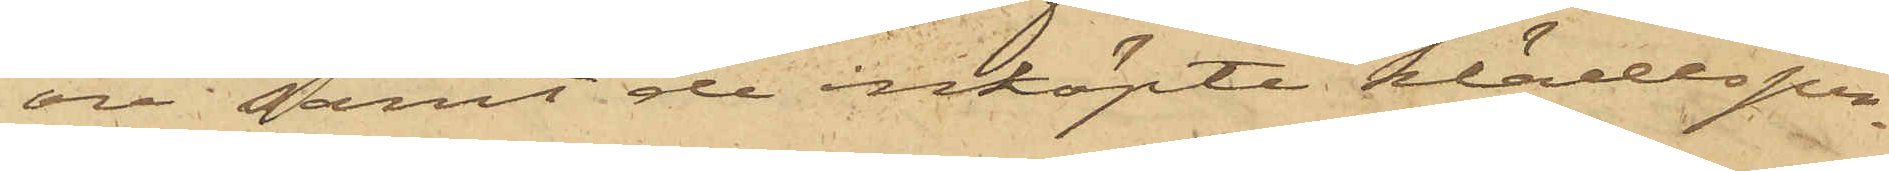öre samt de inköpte klädesper¬
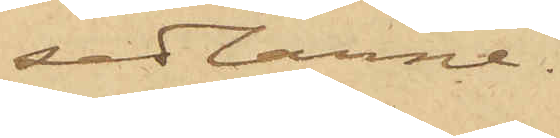sedlarne.
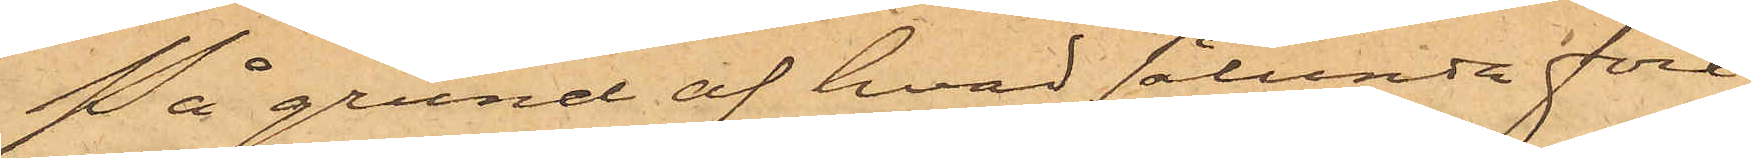På grund af hvad sålunda före¬
